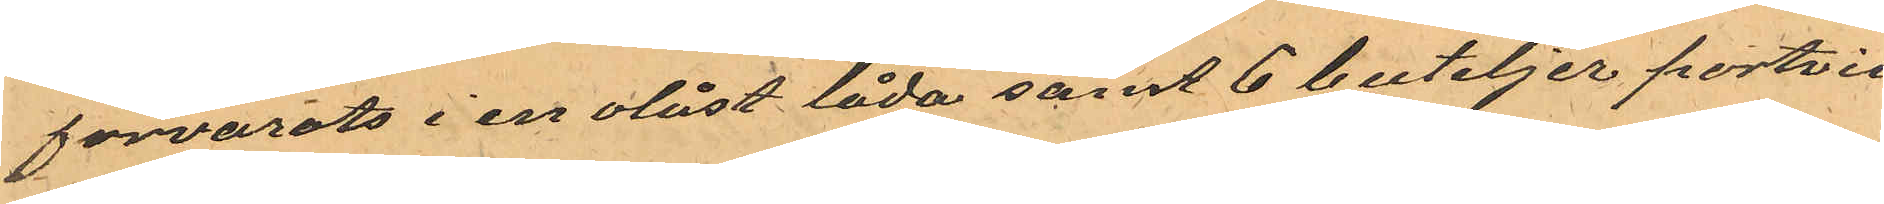förvarats i en olåst låda samt 6 buteljer portvin
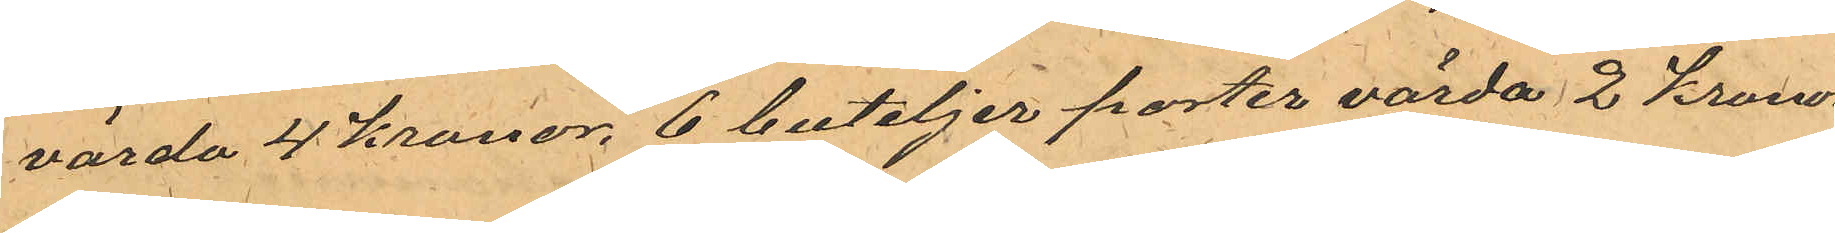värda 4 kronor, 6 buteljer porter värda 2 kronor,
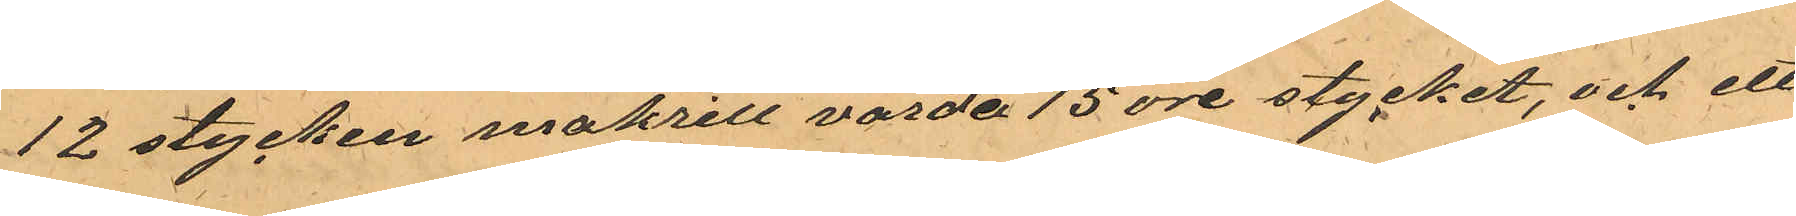12 stycken makrill värda 15 öre stycket, och ett
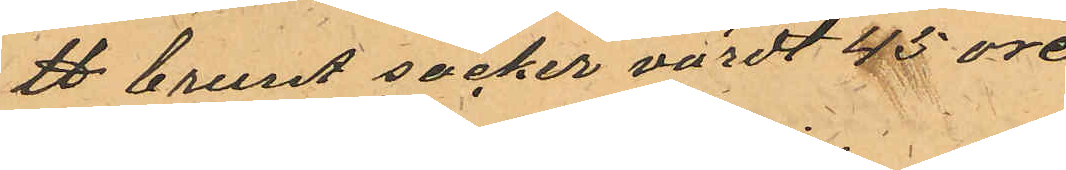℔ brunt socker värdt 45 öre
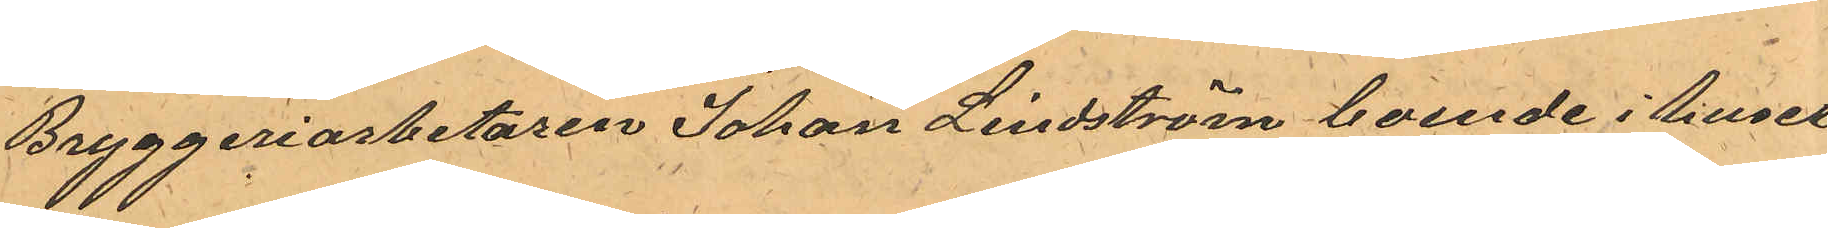Bryggeriarbetaren Johan Lindström boende i huset
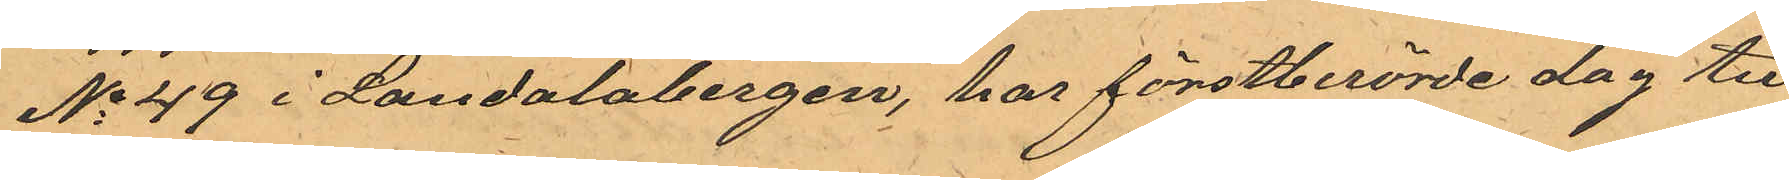No 49 i Landalabergen, har förstberörde dag till
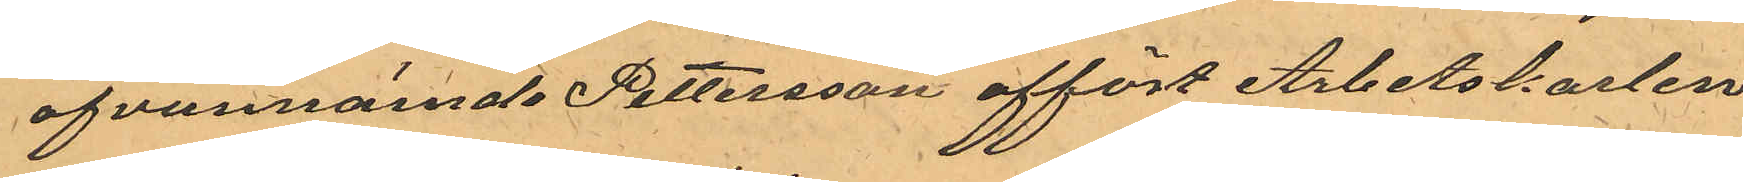ofvannämde Pettersson affört Arbetskarlen
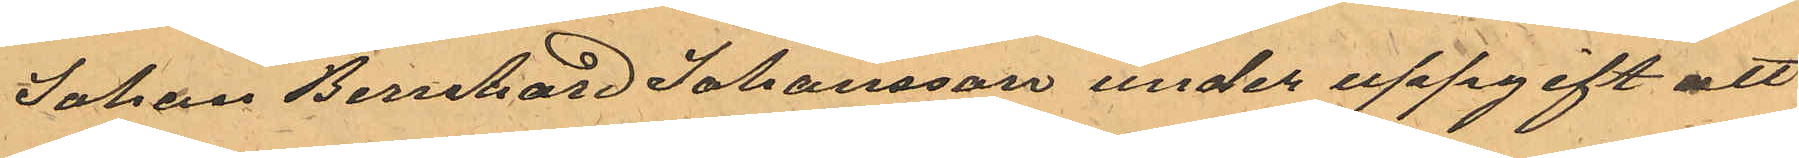Johan Bernhard Johansson under uppgift att
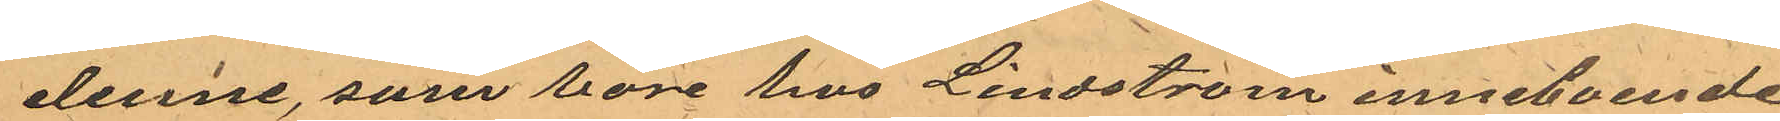denne, som vore hos Lindström inneboende
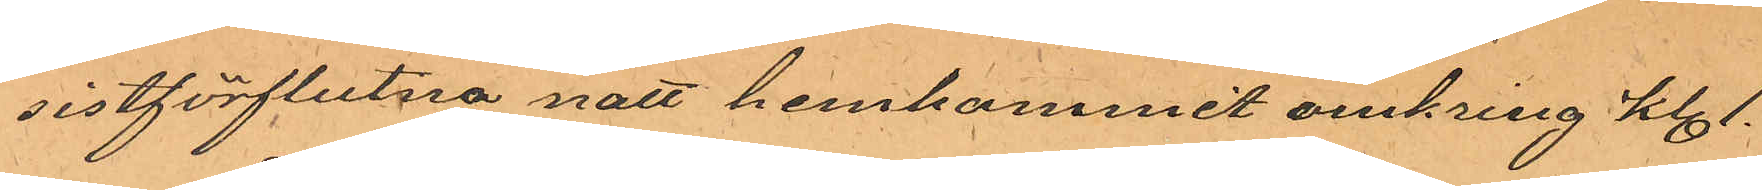sistförflutna natt hemkommit omkring kl. 1.
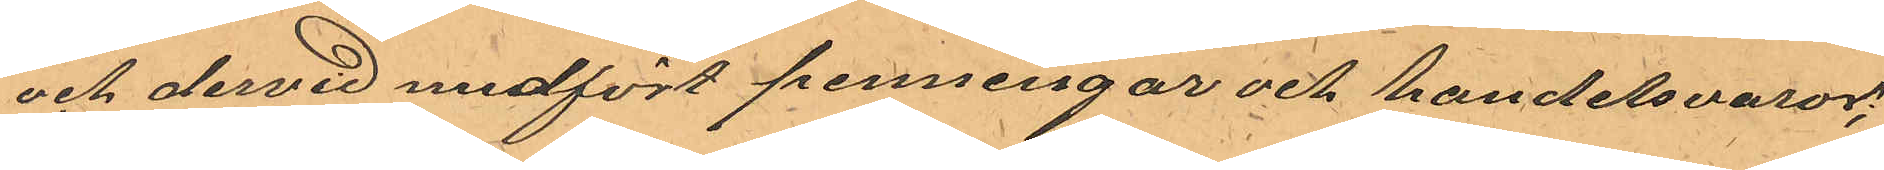och dervid medfört penningar och handelsvaror;
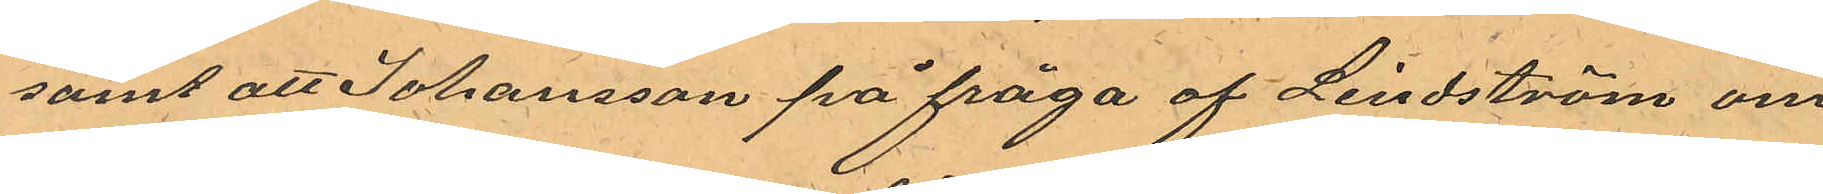samt att Johansson på fråga af Lindström om
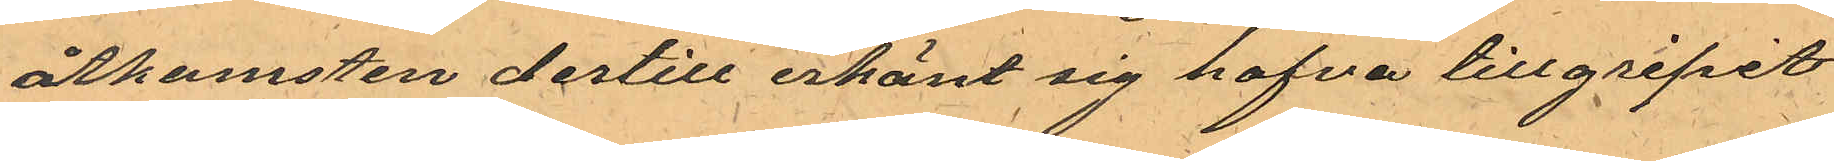åtkomsten dertill erkänt sig hafva tillgripit
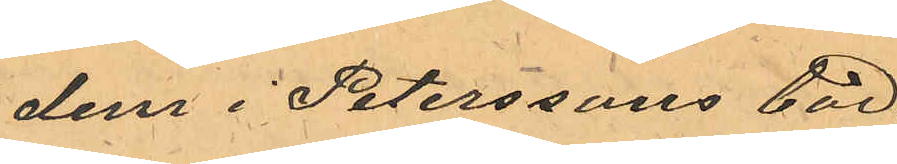dem i Peterssons bod.
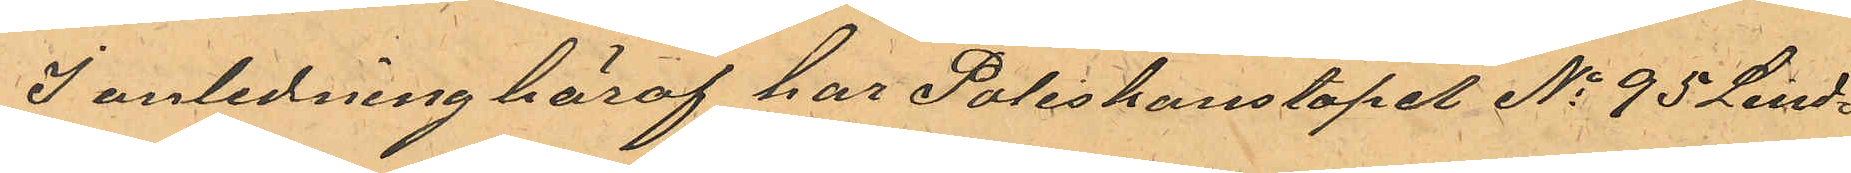I anledning häraf har Poliskonstapel No 95 Lind¬
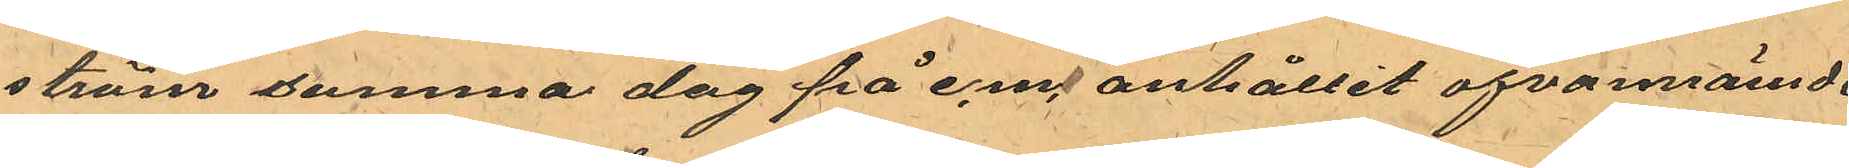ström samma dag på e.m. anhållit ofvannämde
